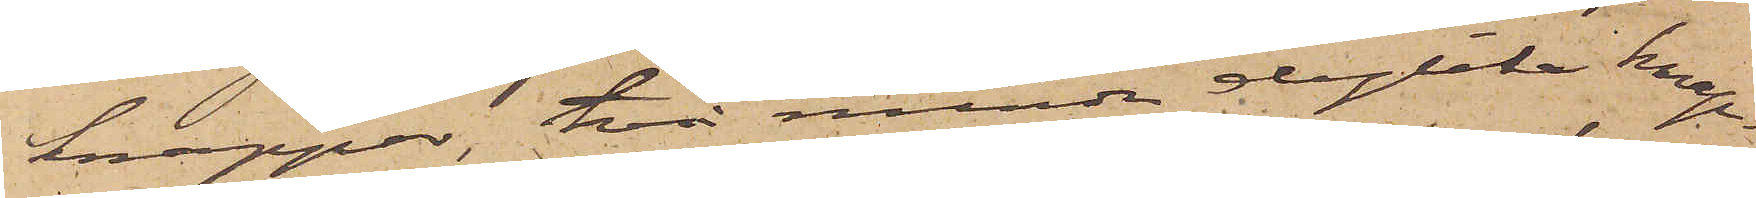knappar, två mindre dylika knap¬
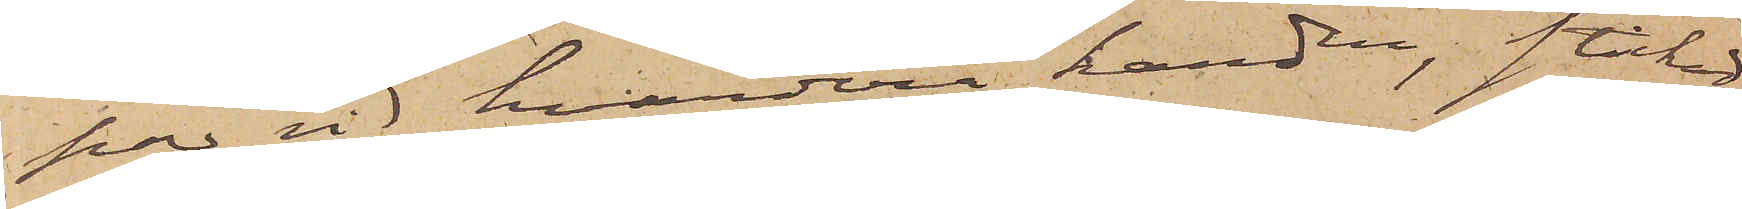par vid hvardera handen, stickad
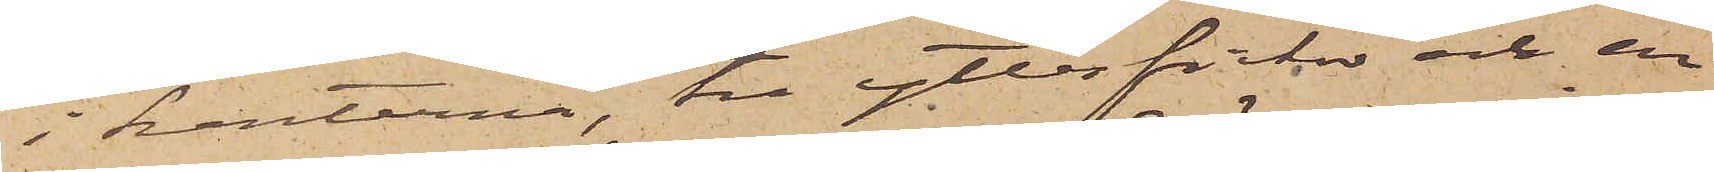i kanterna, tre ytterfickor och en
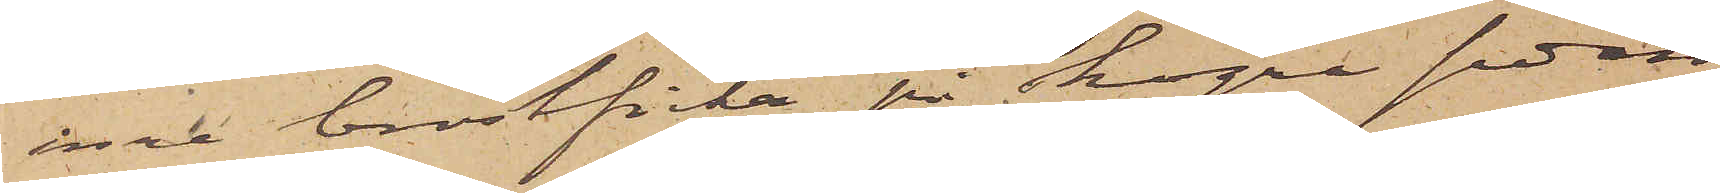inre bröstficka på högra sidan
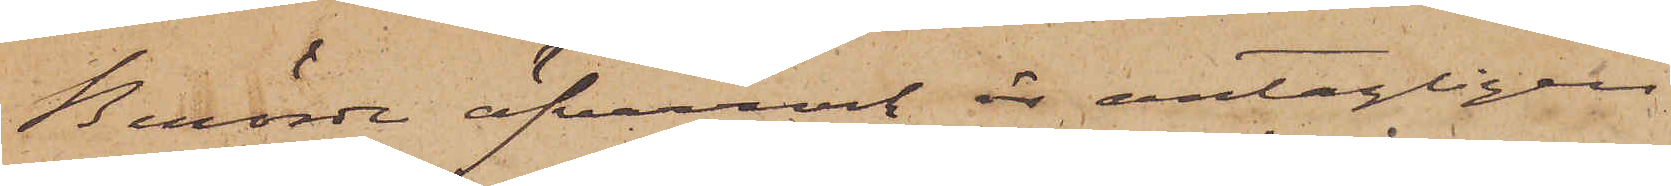Berörde öfverrock är antagligen
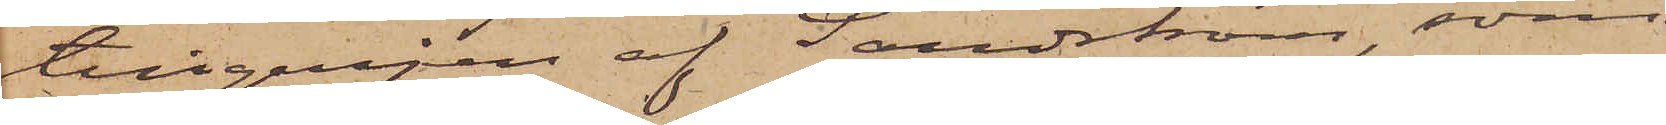tillgripen af Sandström, som
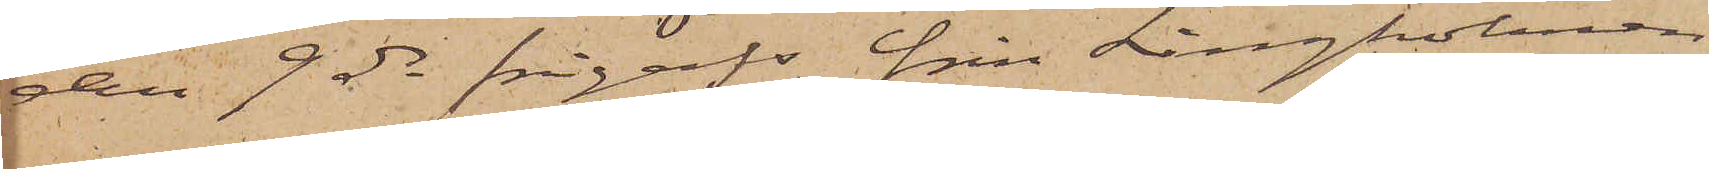den 9 ds frigafs från Långholmen
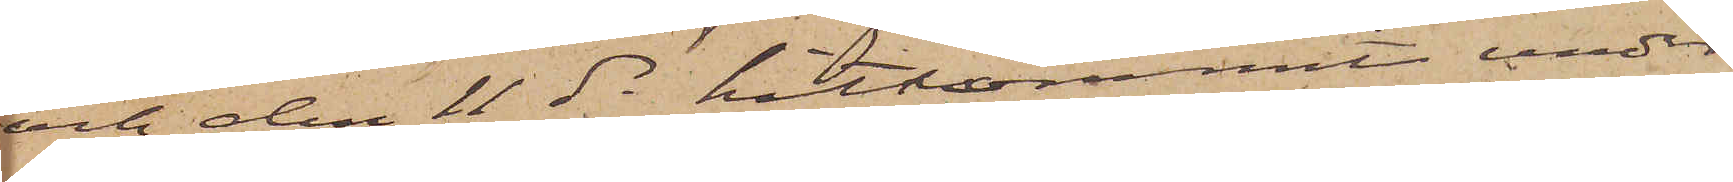och den 11 ds hitkommit, under
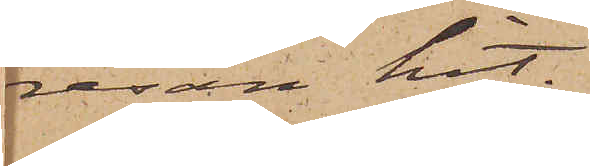resan hit.
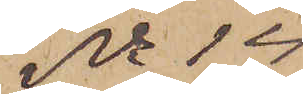No 14
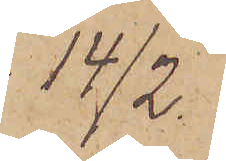14/2.
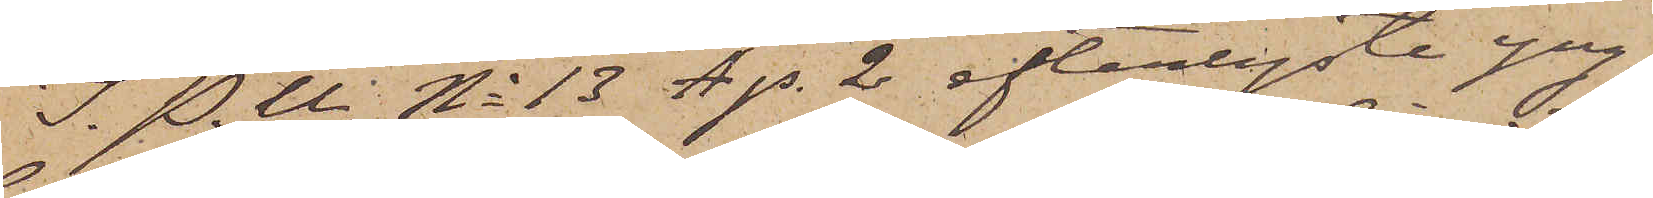I. P. U. No 13 A p. 2 efterlyste yng¬
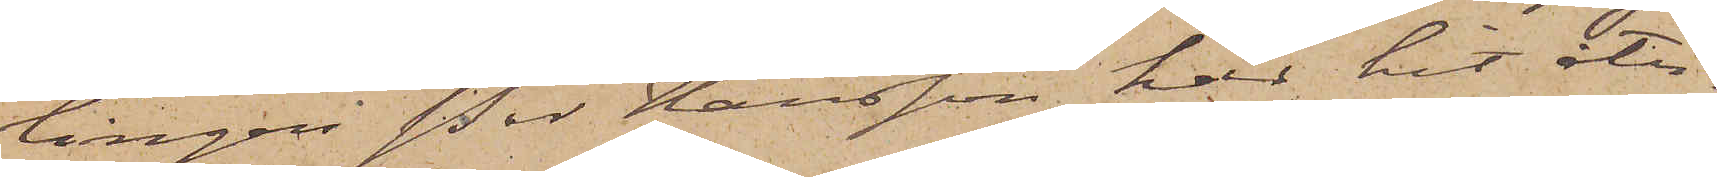lingen Per Hansson har hit åter¬
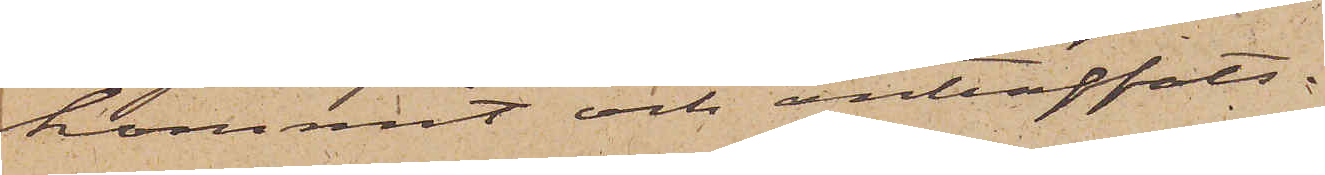kommit och anträffats.
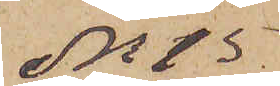No 15
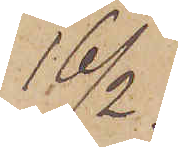16/2.
